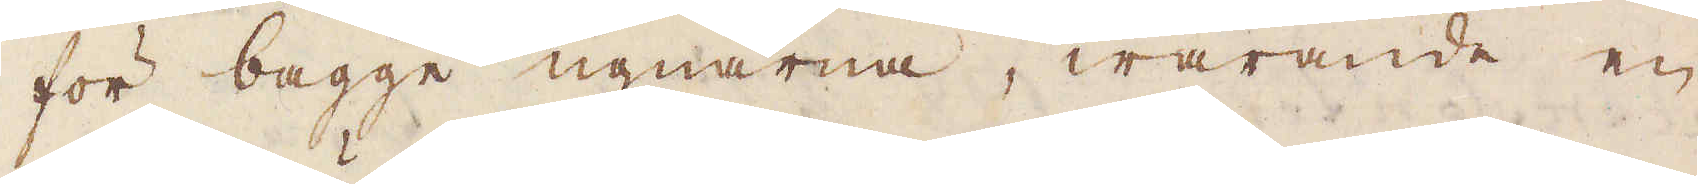för bägge ugnarne, warande en
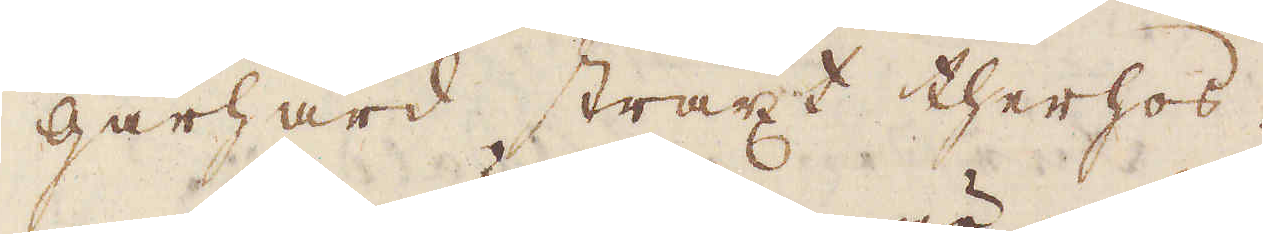gårhård straxt therhos.
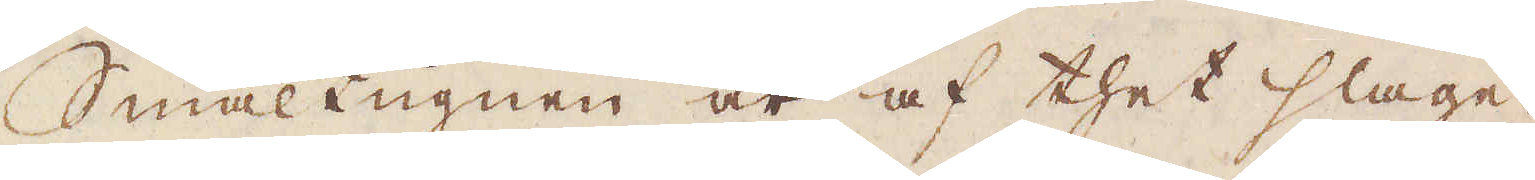Smältugnen är af thet slaget
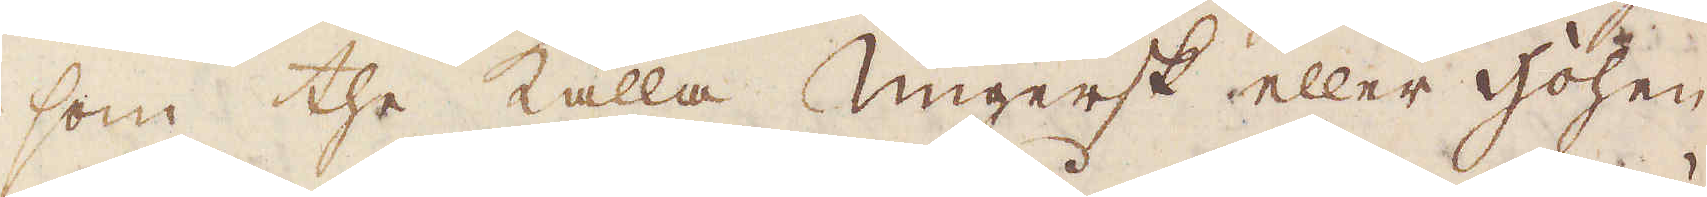som the kalla ungersk eller Hohen,
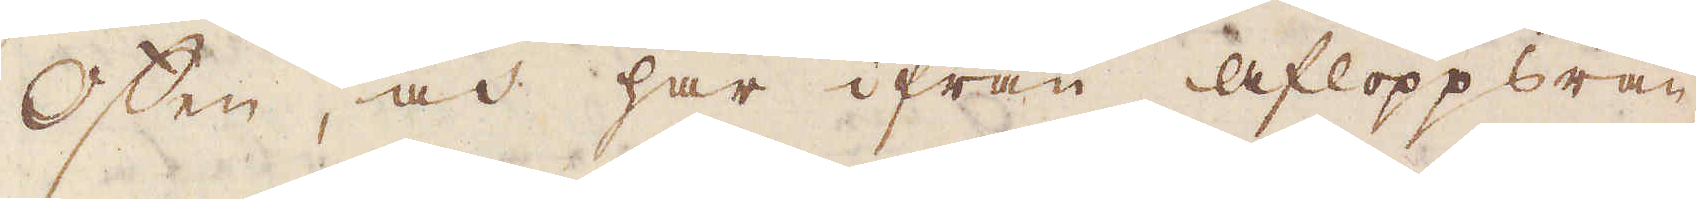Offen, och har ifrån afloppsrän-
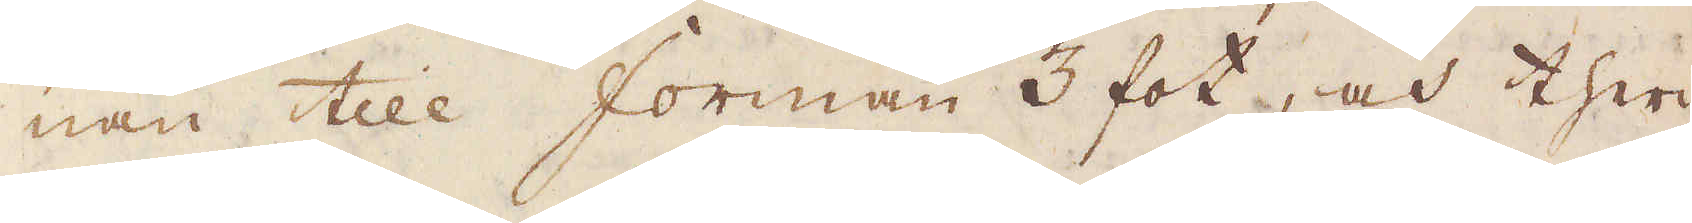nan till forman 3 fot, och ther
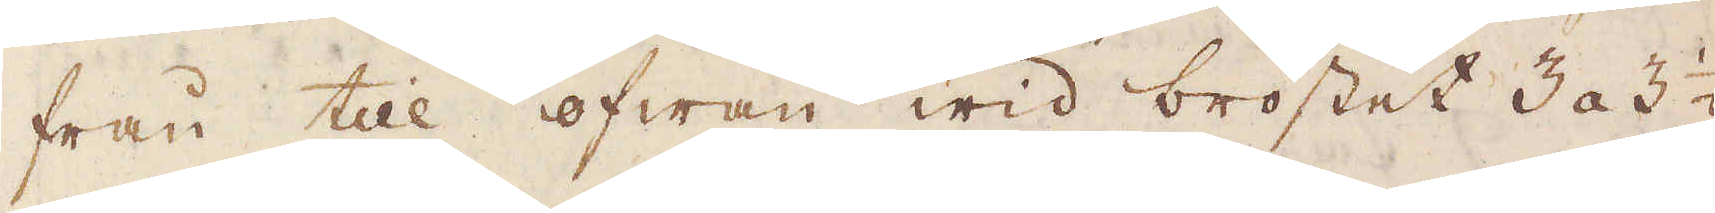från till ofwan wid bröstet 3 a 3 1/2
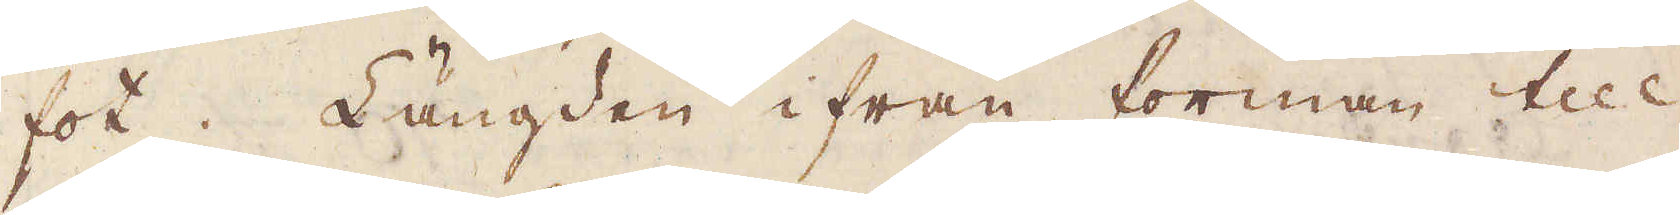fot. Längden ifrån förman till
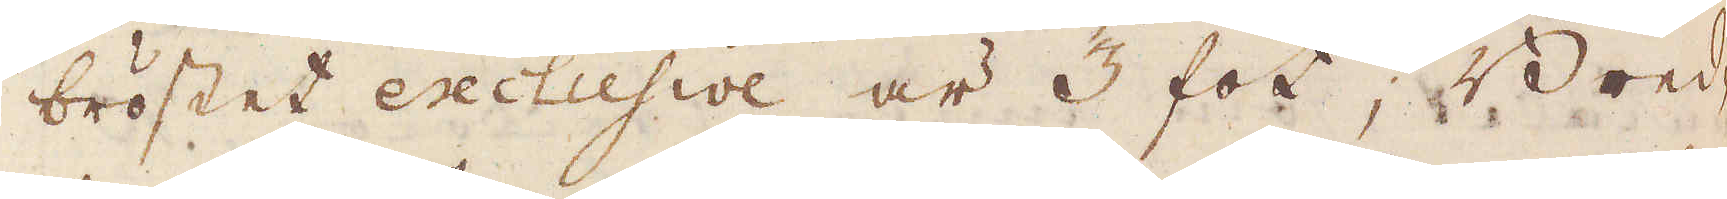bröstet exclusive är 3 fot; Bred-
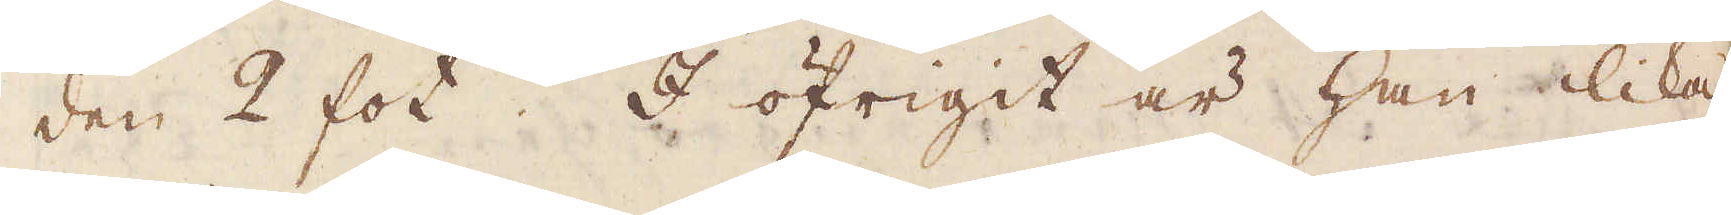den 2 fot. I öfrigit är han lika
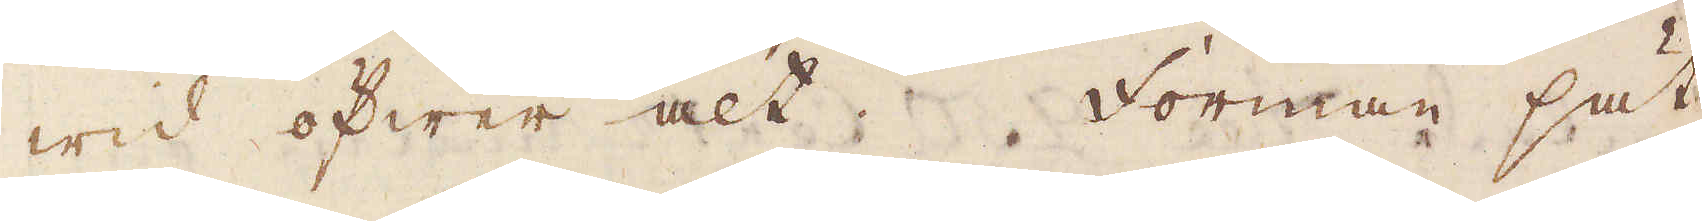wid öfwer alt. Forman sät-
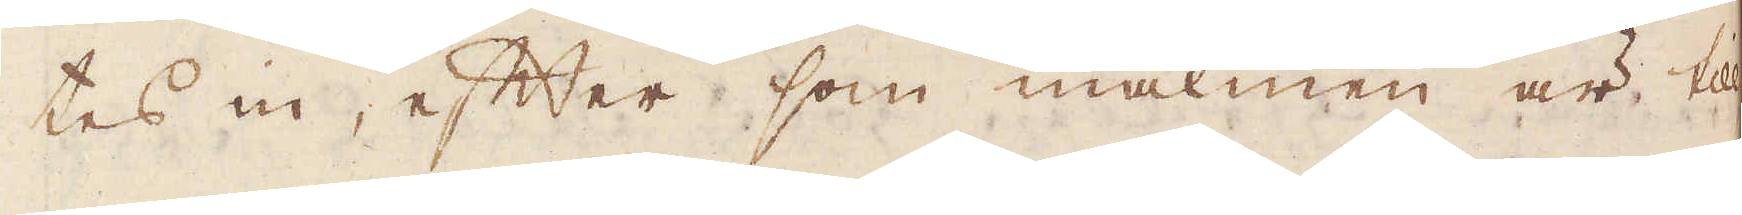tes in, efter som malmen är till
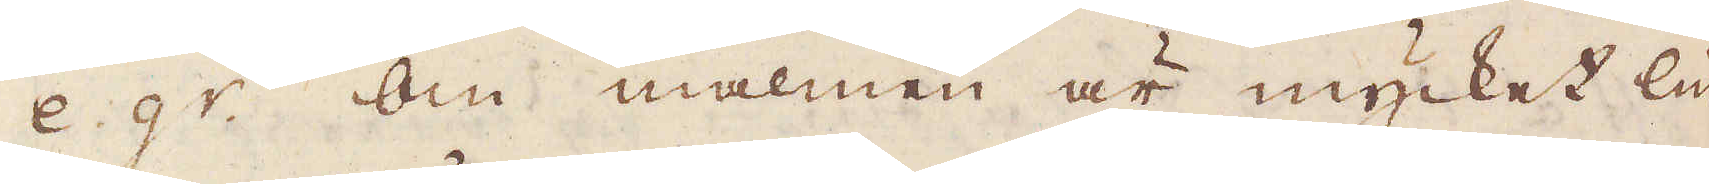e gr. Om malmen är mycket lin-
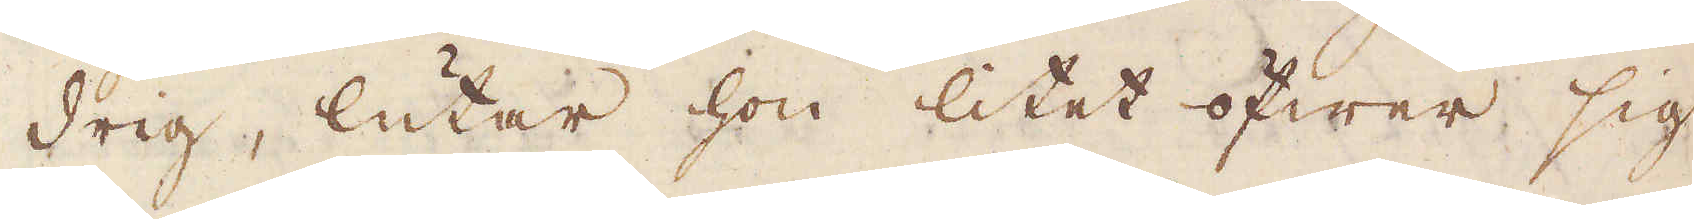drig, lutar hon litet öfwer sig
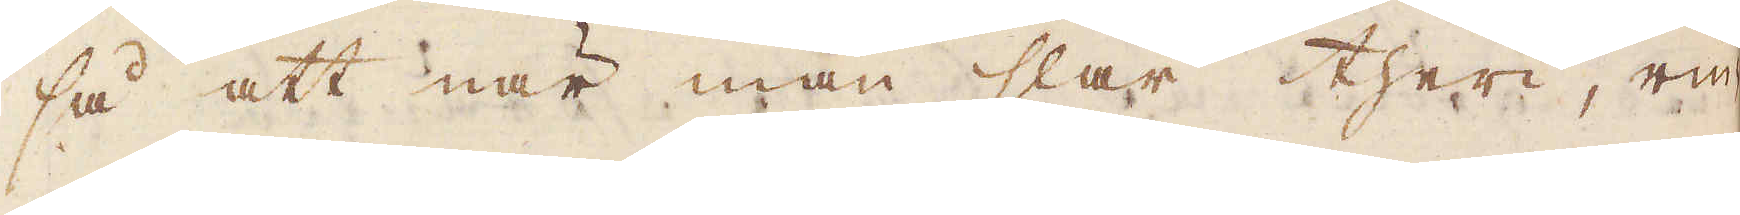så att när man slår theri, rin-
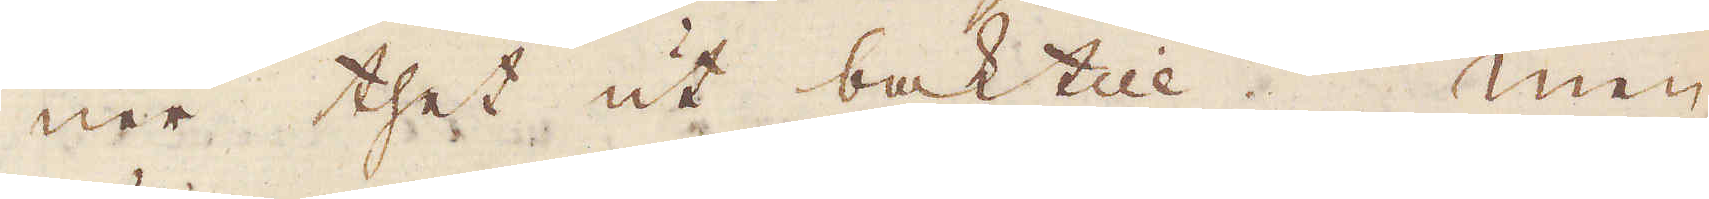ner thet ut baktill. Men
